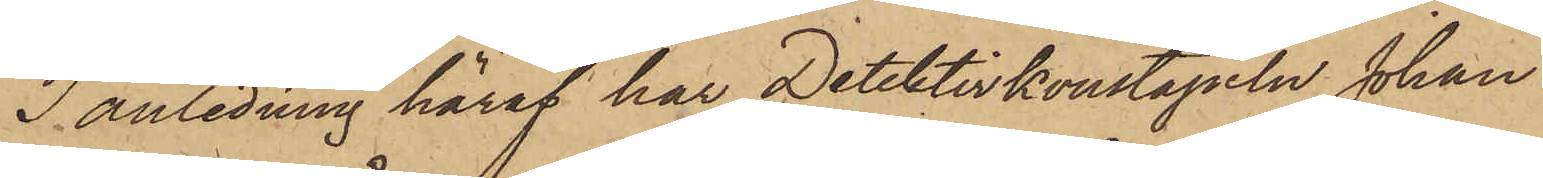I anledning häraf har Detektivkonstapeln Johan
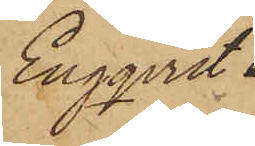Engqvist
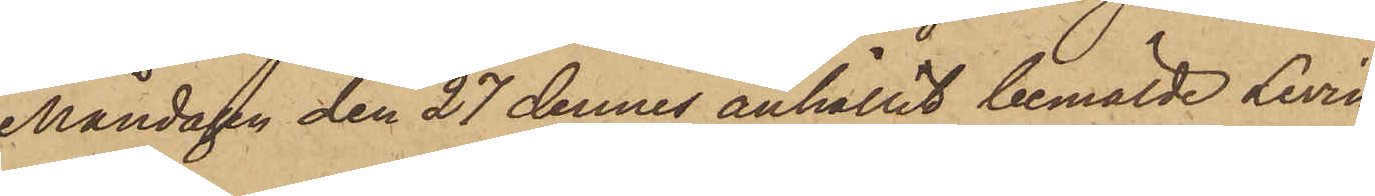Måndagen den 27 dennes anhållit bemälde Levin,
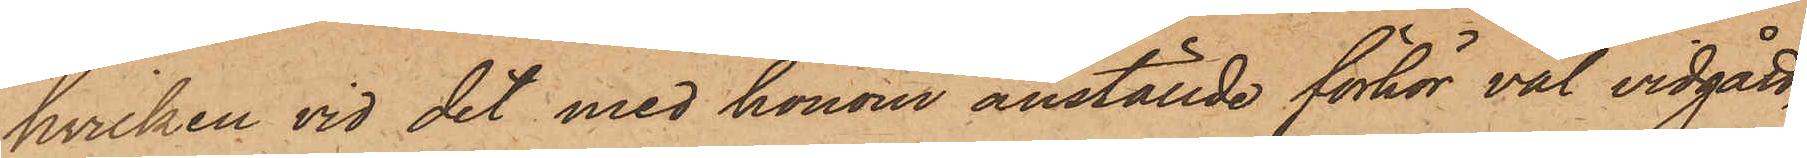hvilken vid det med honom anställde förhör väl vidgått,
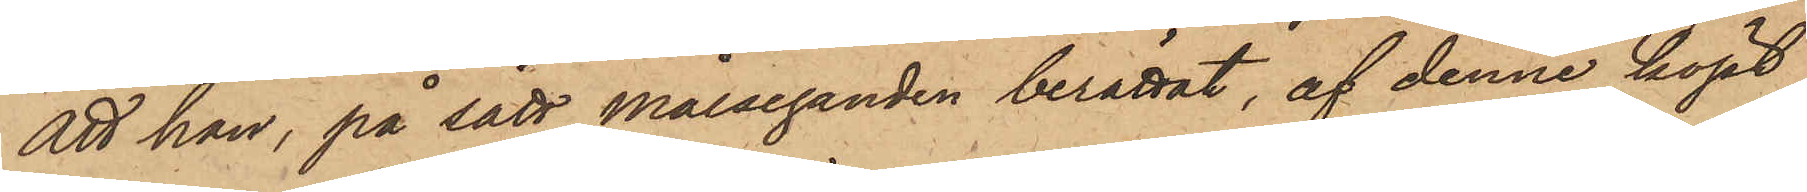att han, på sätt målseganden berättat, af denne köpt
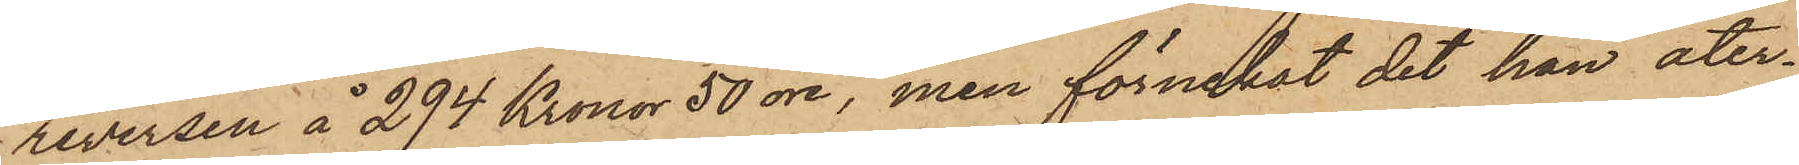reversen å 294 Kronor 50 öre, men förnekat det han åter¬
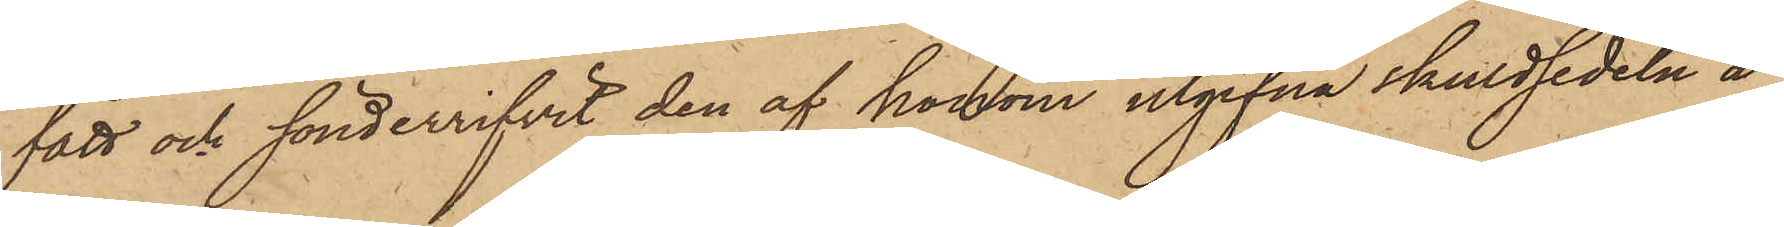fått och sönderrifvit den af honom utgifna skuldsedeln å
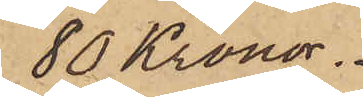80 Kronor.
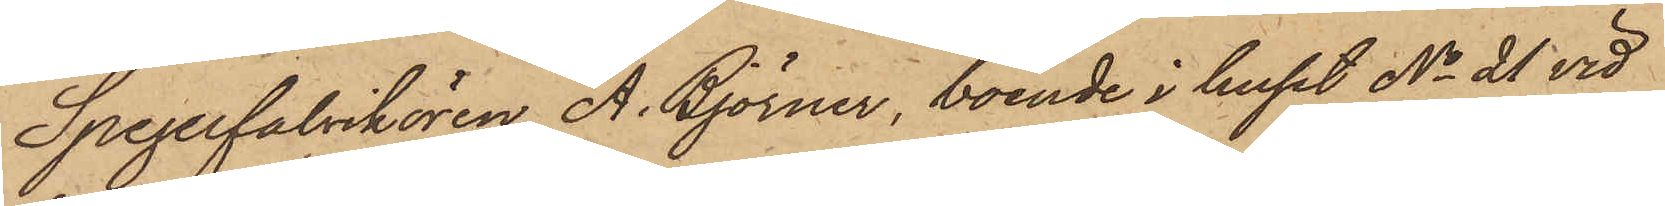Spegelfabrikören A. Björner, boende i huset No 21 vid
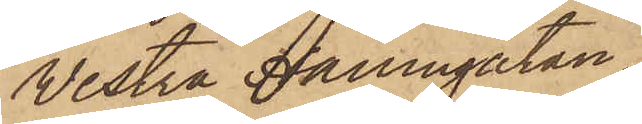Vestra Hamngatan,
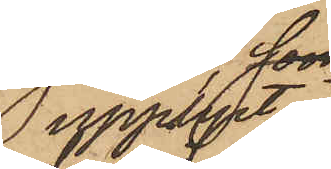upplyst
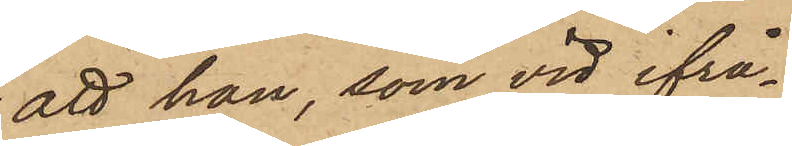att han, som vid ifrå¬
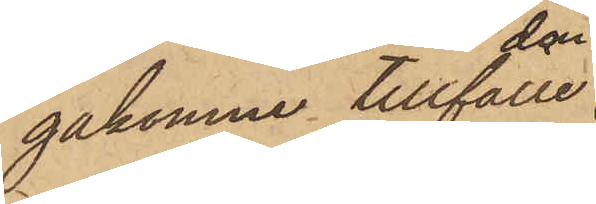gakomne tillfälle
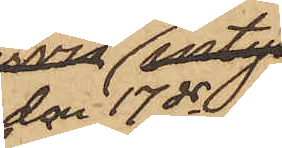den 17 ds
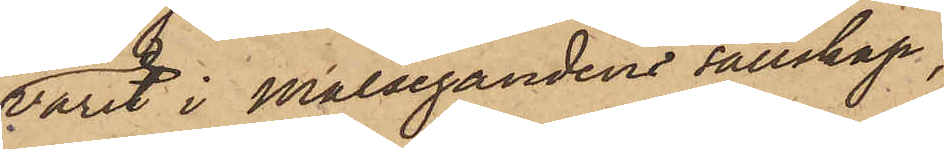varit i Målsegandens sällskap,
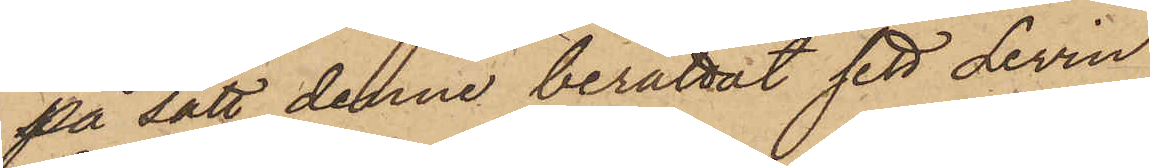på sätt denne berättat sett Levin
